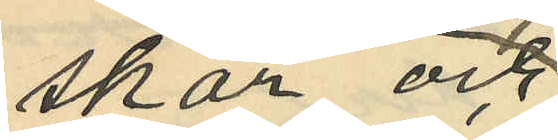skar och
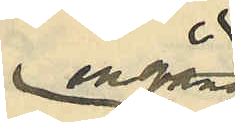en gång
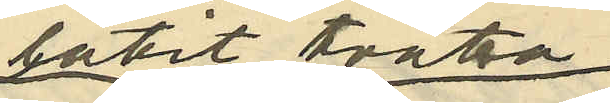låtit tvätta
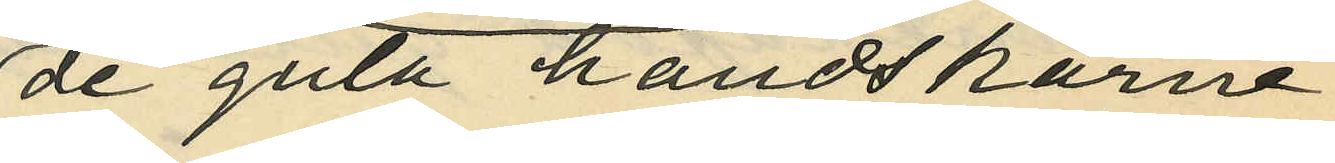de gula handskarne;
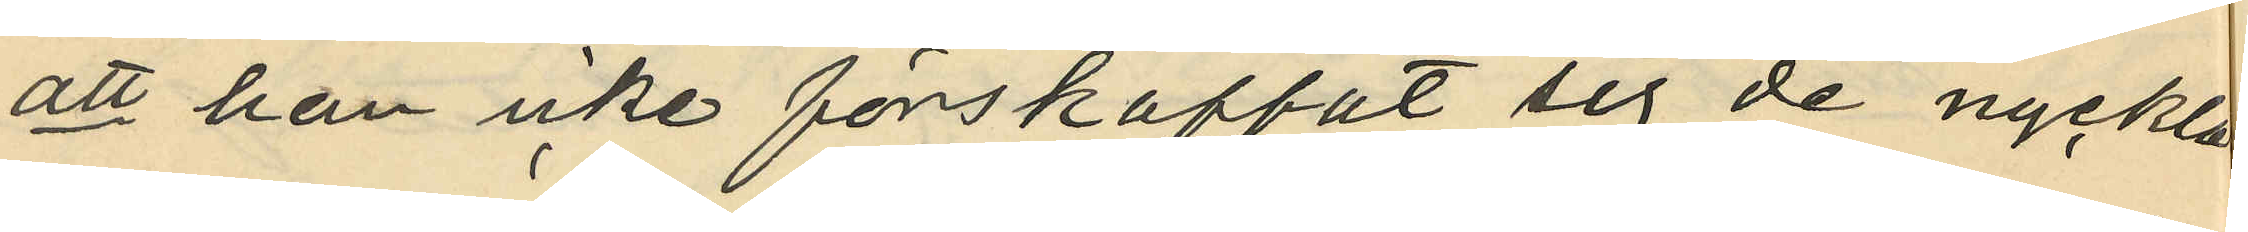att han icke förskaffat sig de nycklar
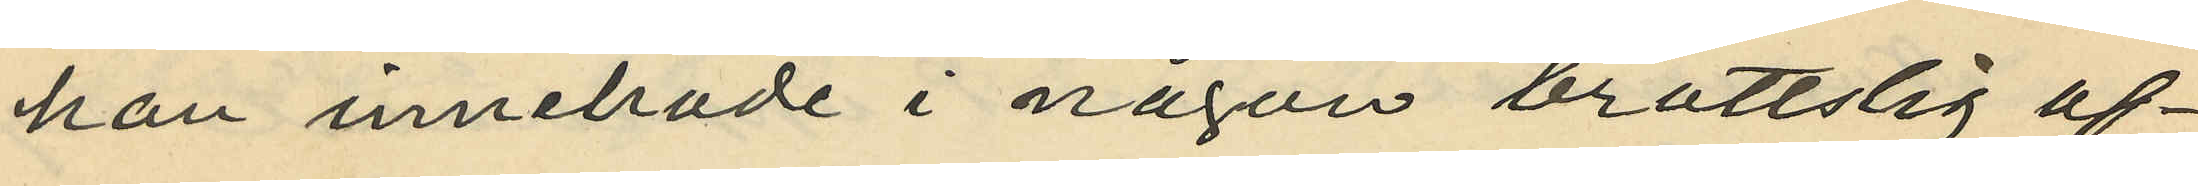han innehade i någon brottslig af¬
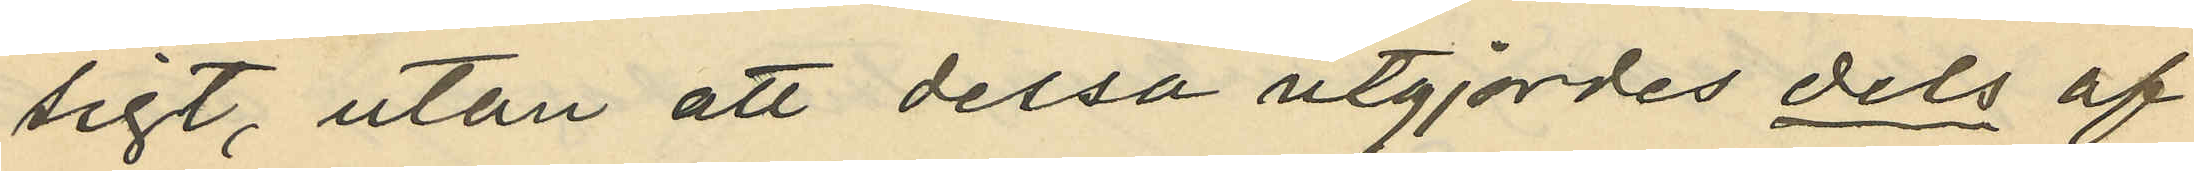sigt, utan att dessa utgjordes dels af
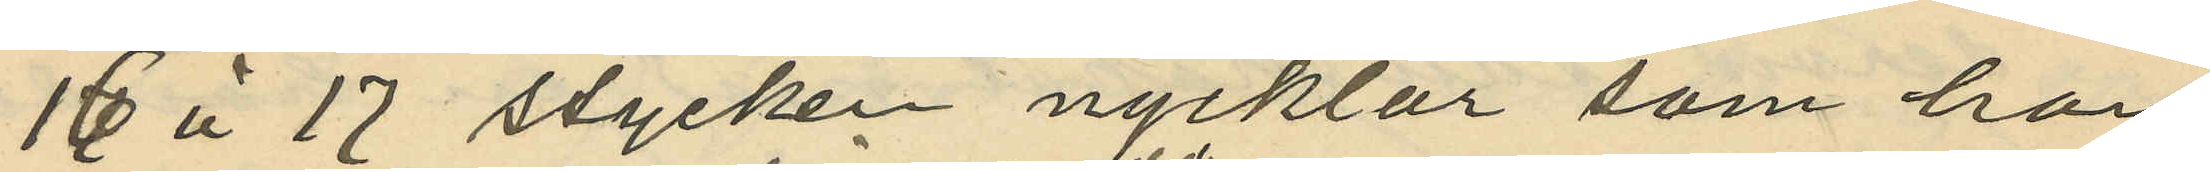16 à 17 stycken nycklar som han
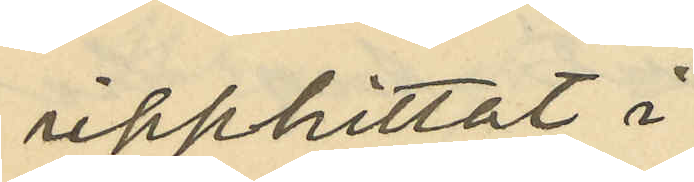upphittat i
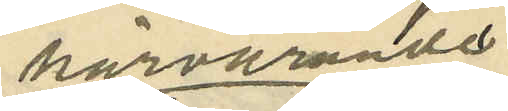härvarande
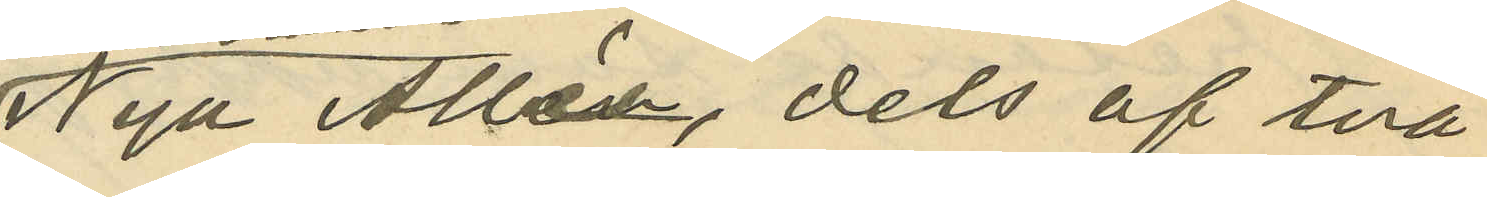Nya Allén, dels af två
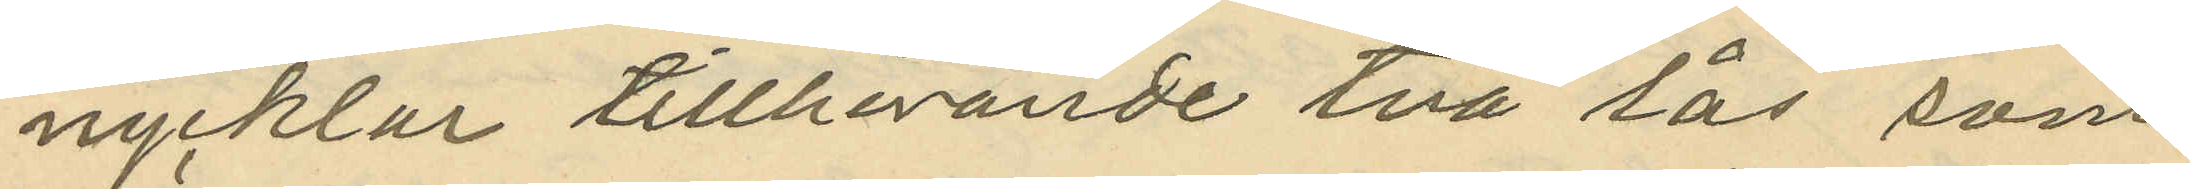nycklar tillhörande två lås som
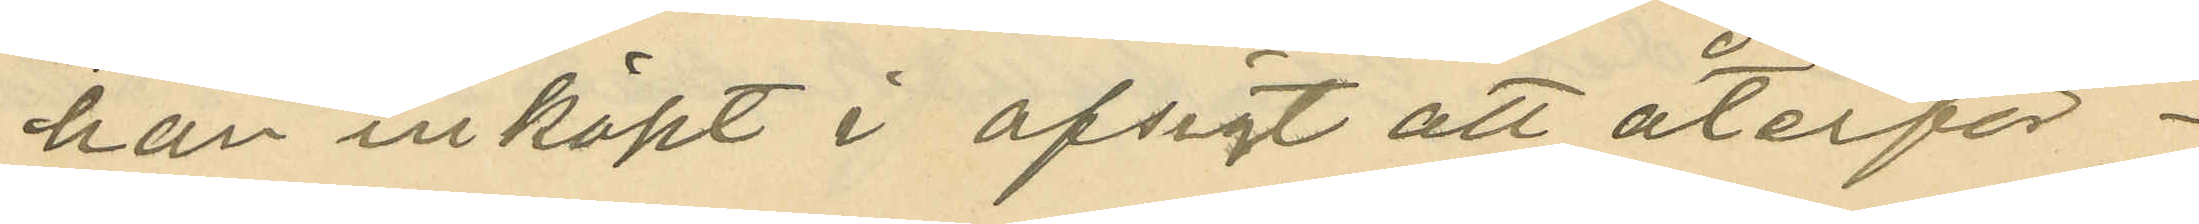han inköpt i afsigt att återför¬
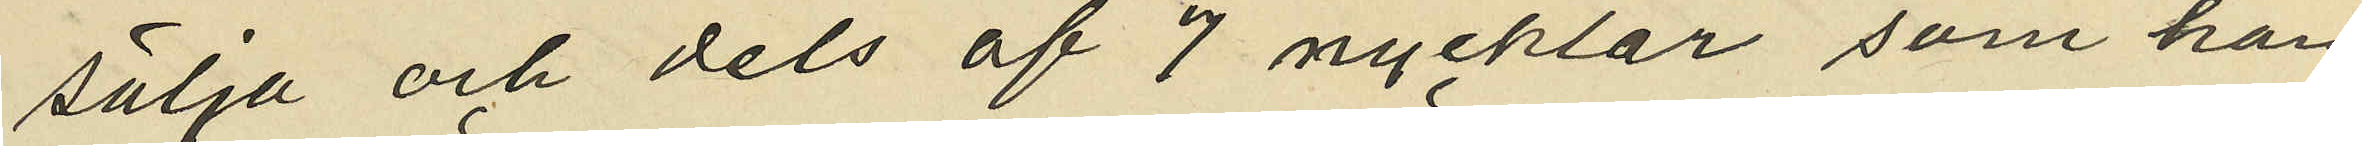sälja och dels af 7 nycklar, som han
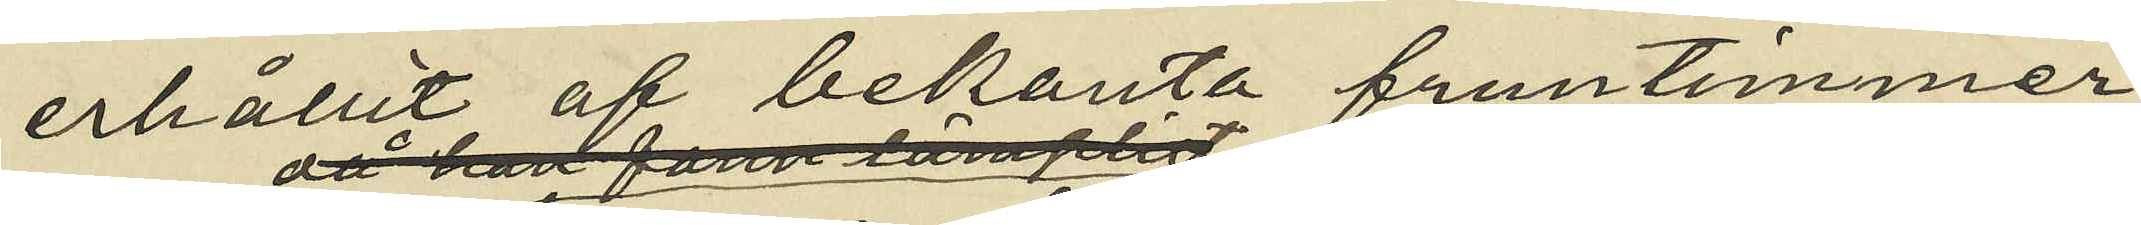erhållit af bekanta fruntimmer
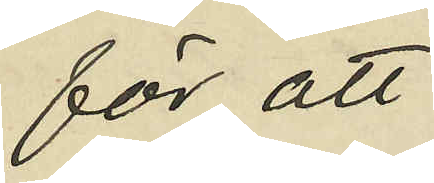för att
